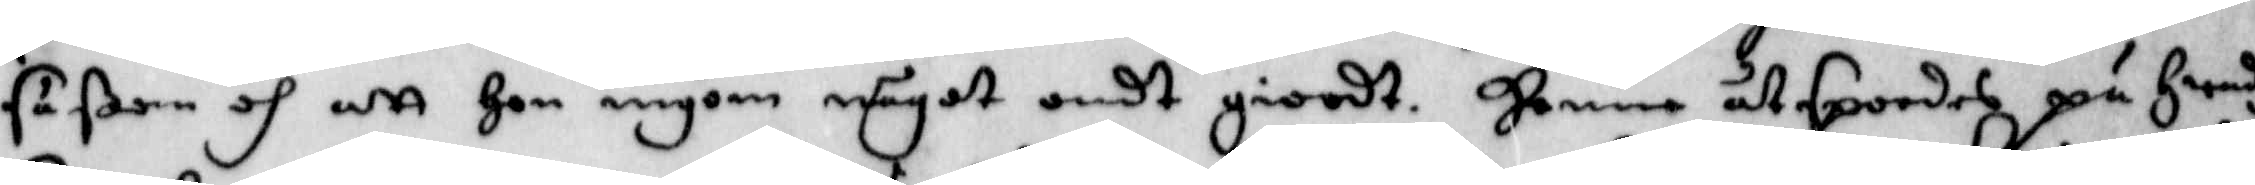såsom och att Hon ingom något ondt giordt. Henne åtspordes på Hwadh
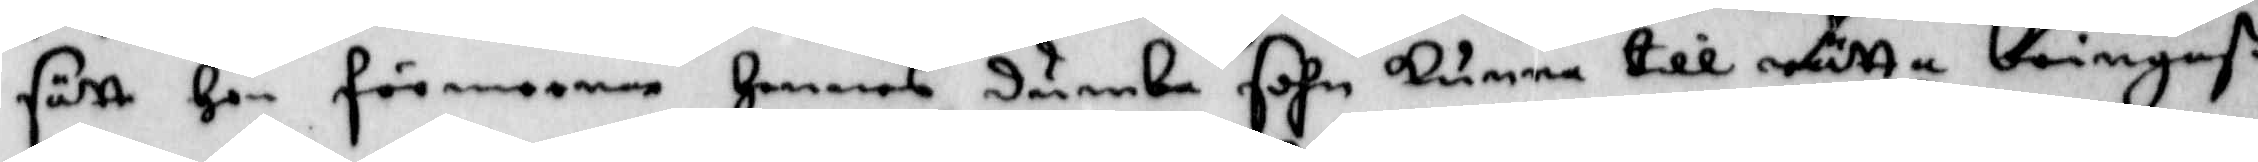sätt Hon förmeena Hennes dumbe sohn kunna till rätta bringaß.
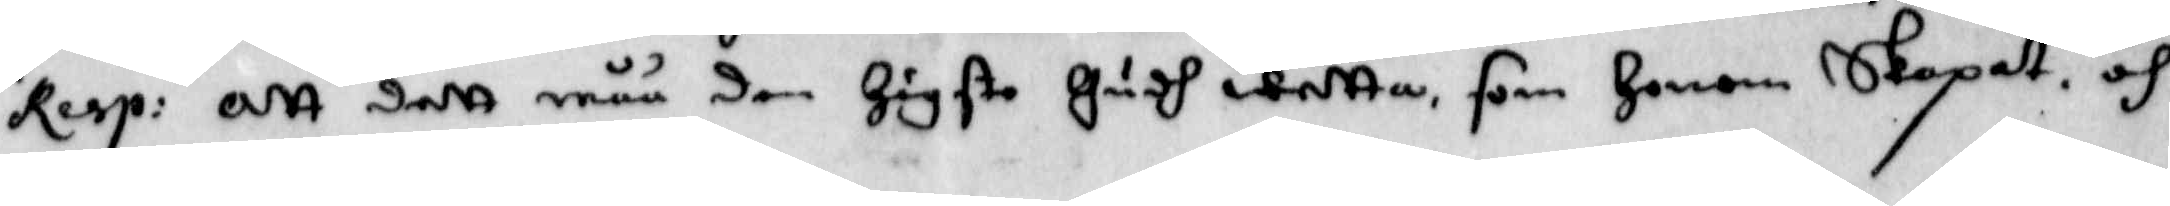Resp: Att dett måå den Högste Gudh wetta, som Honom Skapat. och 
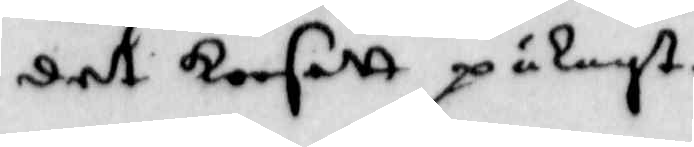det korsett pålagt.
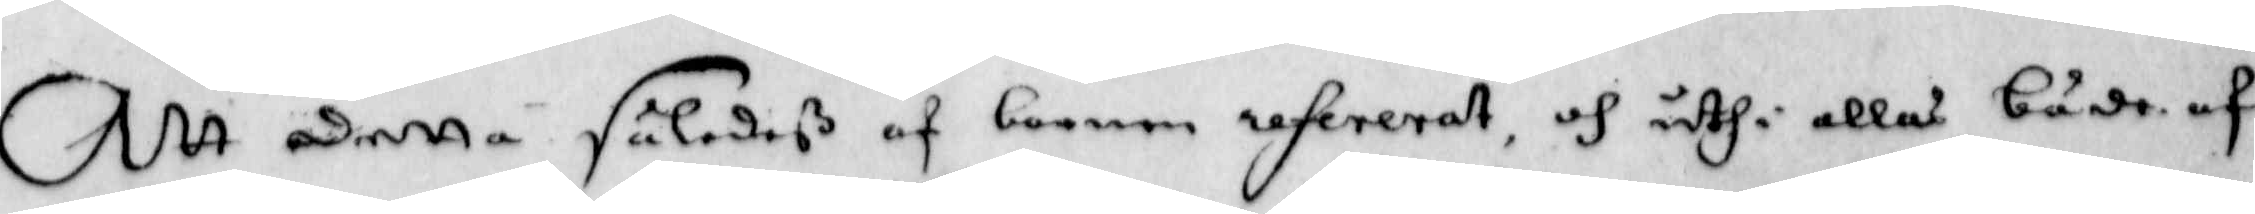Att detta såledeß af barnen refererat, och uthi allas både af
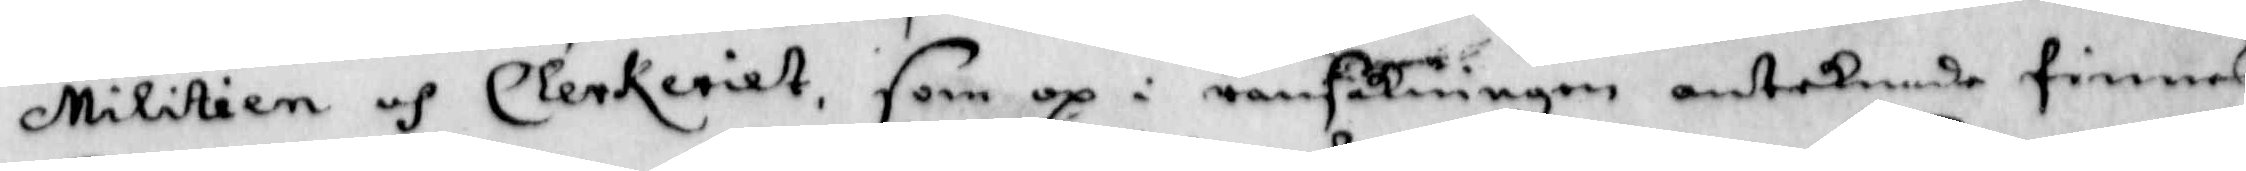Militien och Clerkeriet, som op i ransakningen antecknade finnes
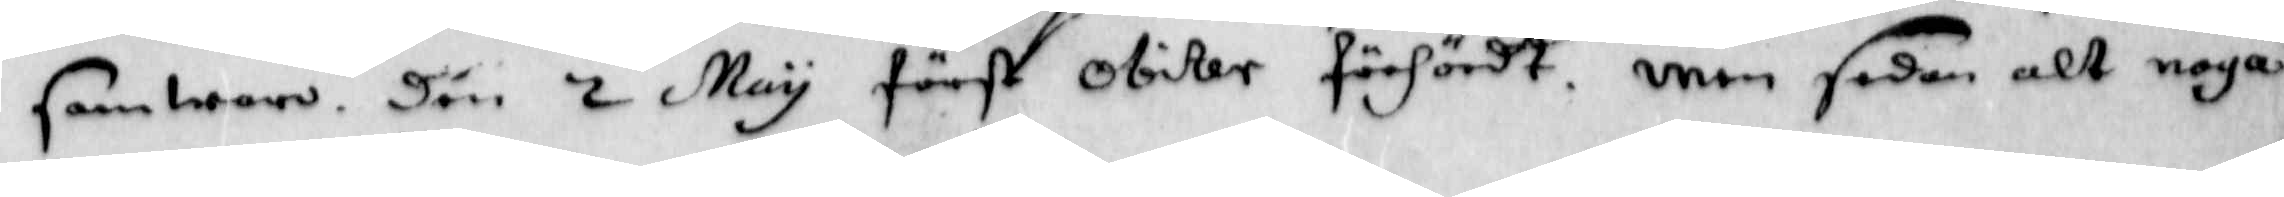samwaro. Dän 2 May först obiter förhördt. men sedan alt noga
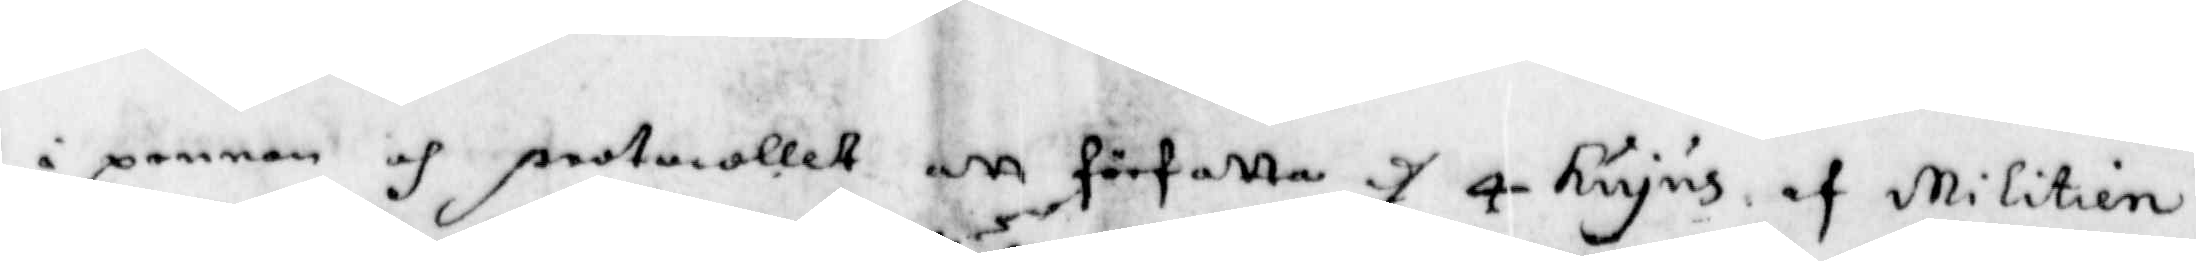i pennan och protocollet att författa d 4 hujus af Militien
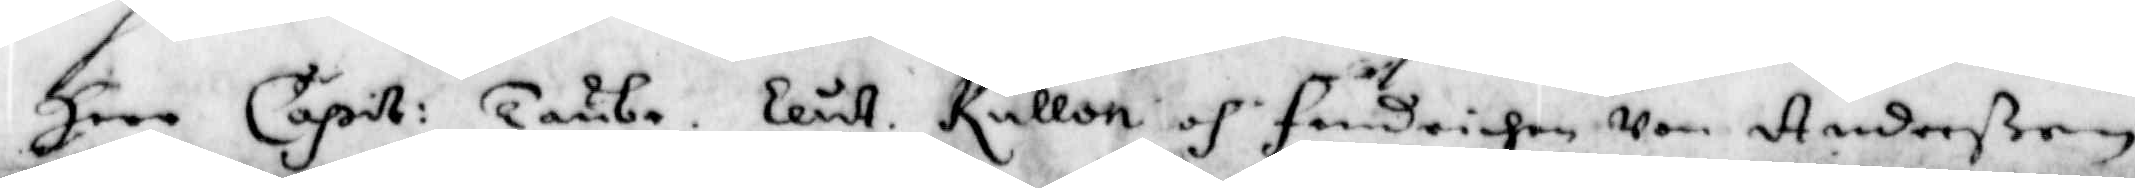Herr Capit: Taube. Leut. Kullon och fendrichen von Andersßon
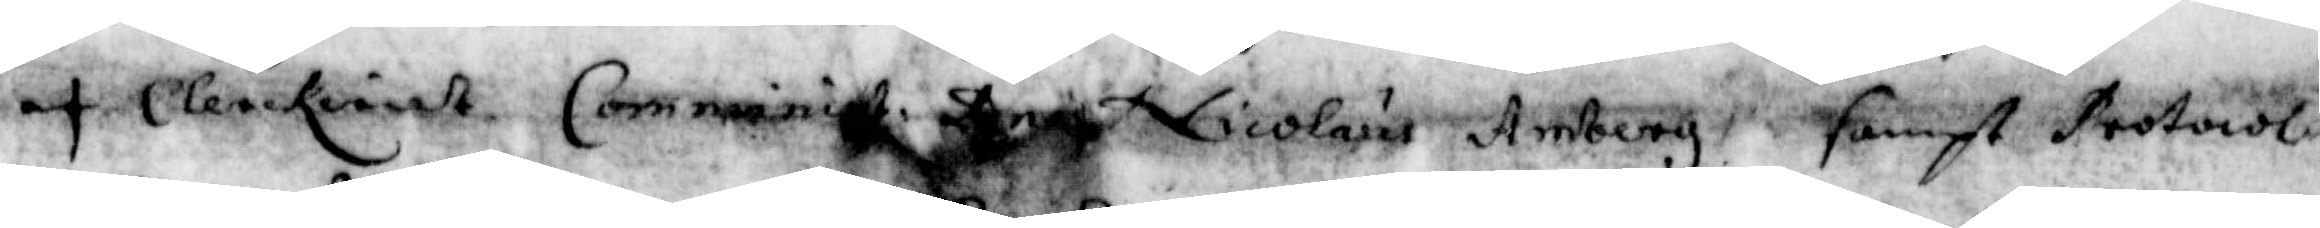af Clerckeriet. Comminist. Bengt Nicolaus Amberg. sampt Protocol¬
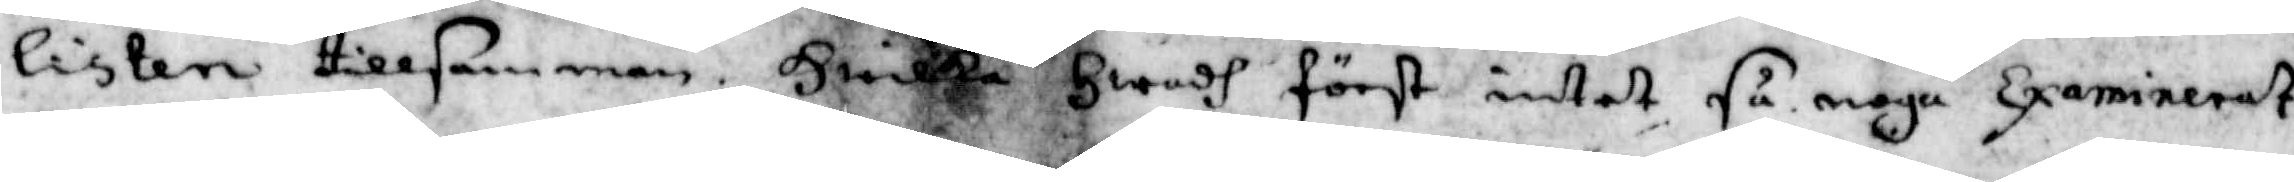listen tillsamman. Hwilka Hwadh först intet så noga Examinerat
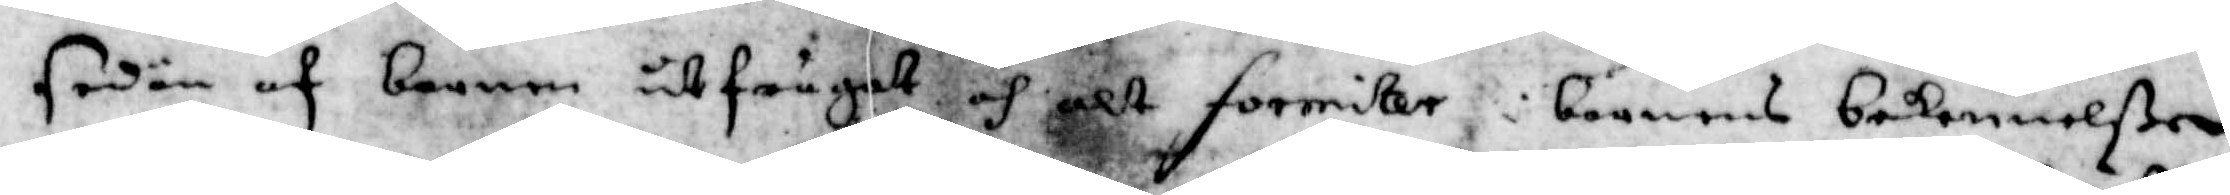sedan af barnen utfrågat och alt forridter i barnens bekennelßer
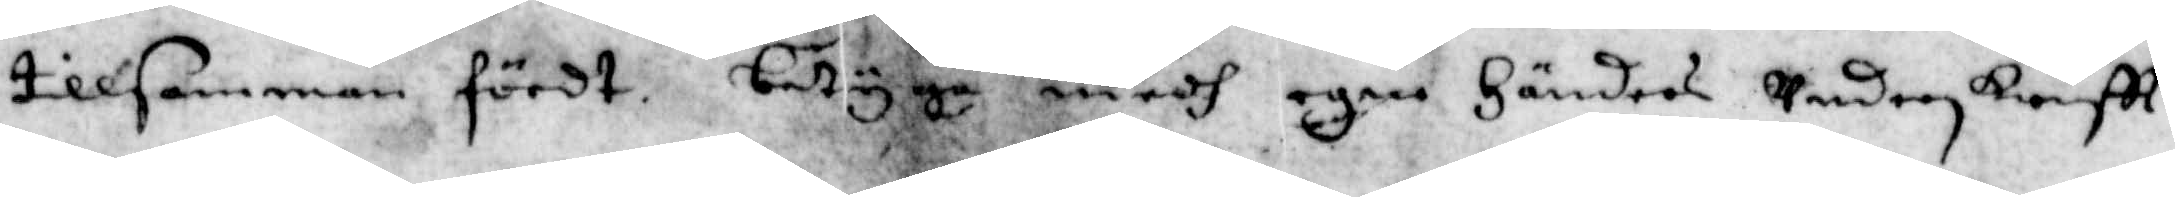tillsamman fördt. betygar medh egen Händers underskreftt,
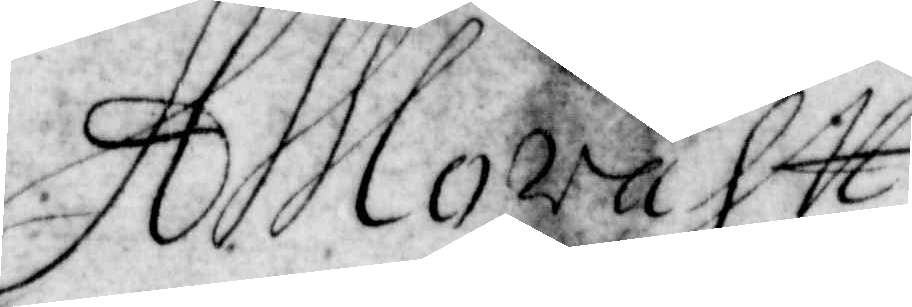H Moraht
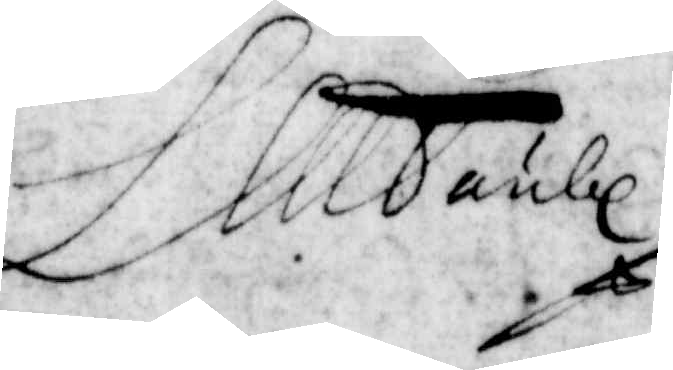L M Taube
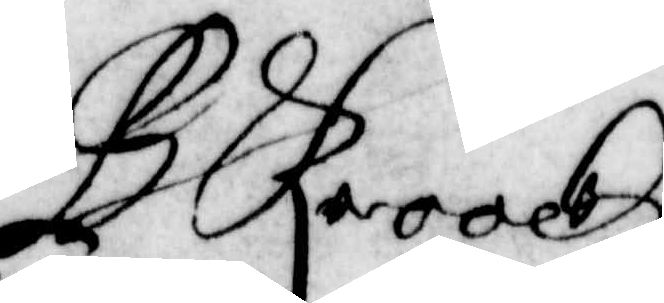B Krook
